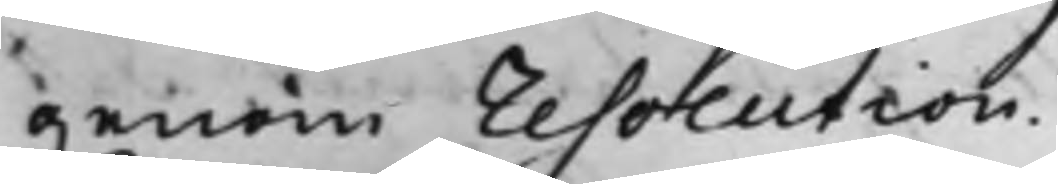genom resolution.
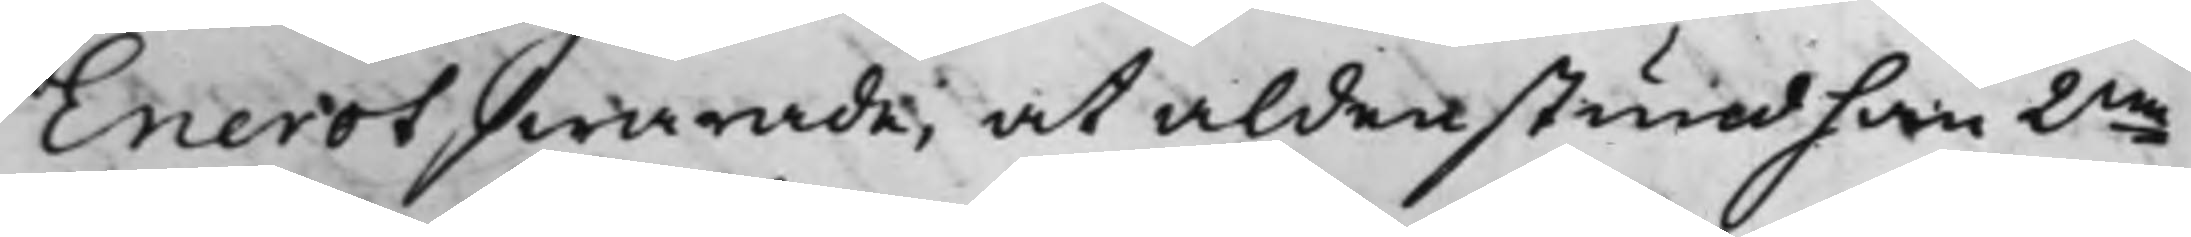Enerot swarade, at aldenstund han 2ne
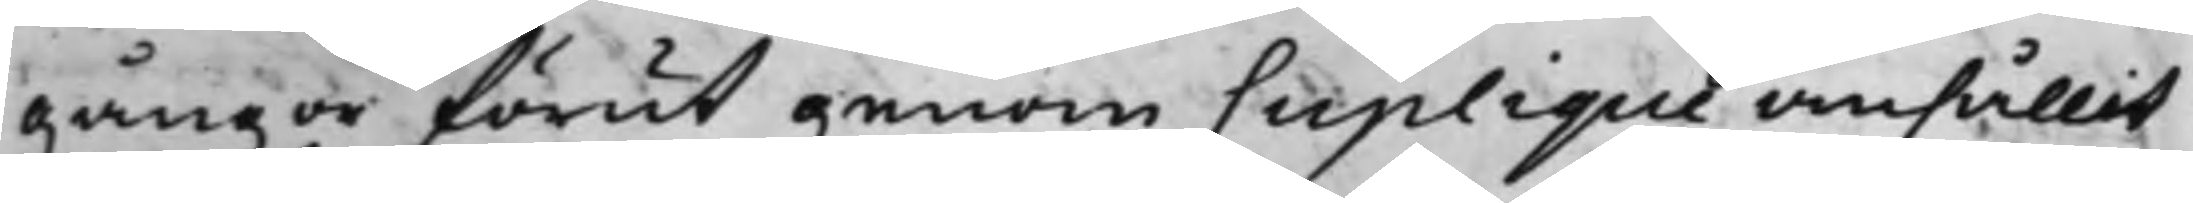gånger förut genom Suplique anhållit
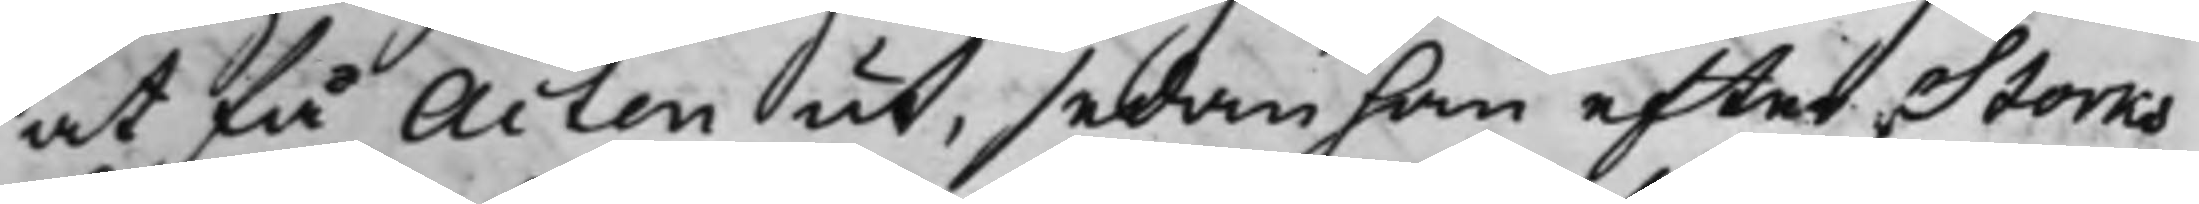at få Acten ut, sedan han efter Storks
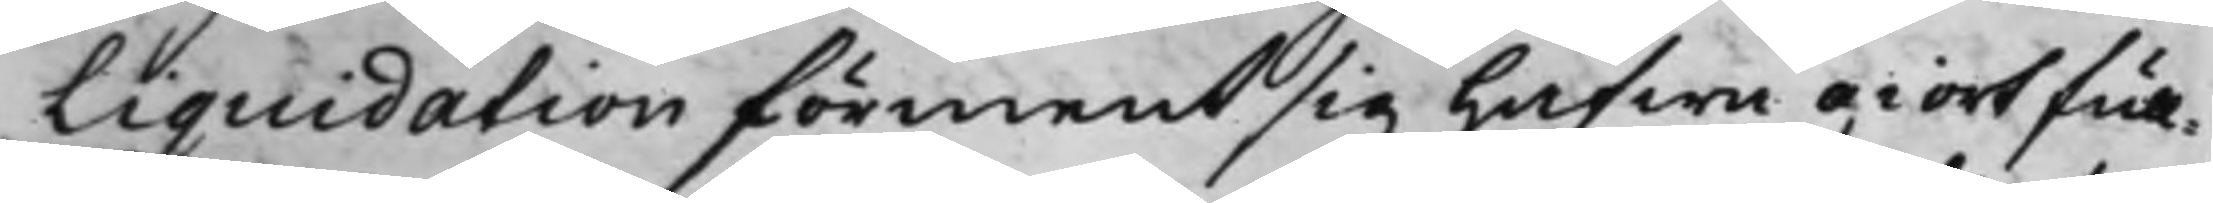Liquidation förment sig hafwa giort full¬
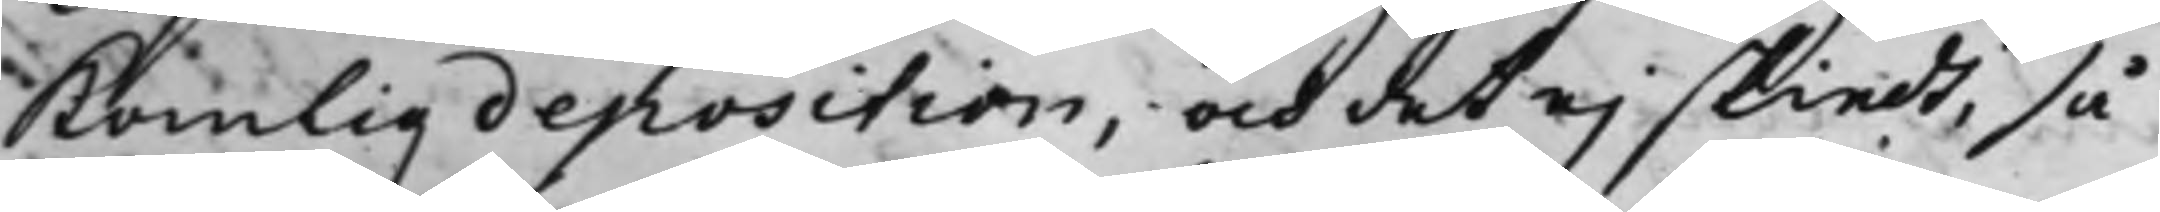komlig deposition, och det ej skiedt, så
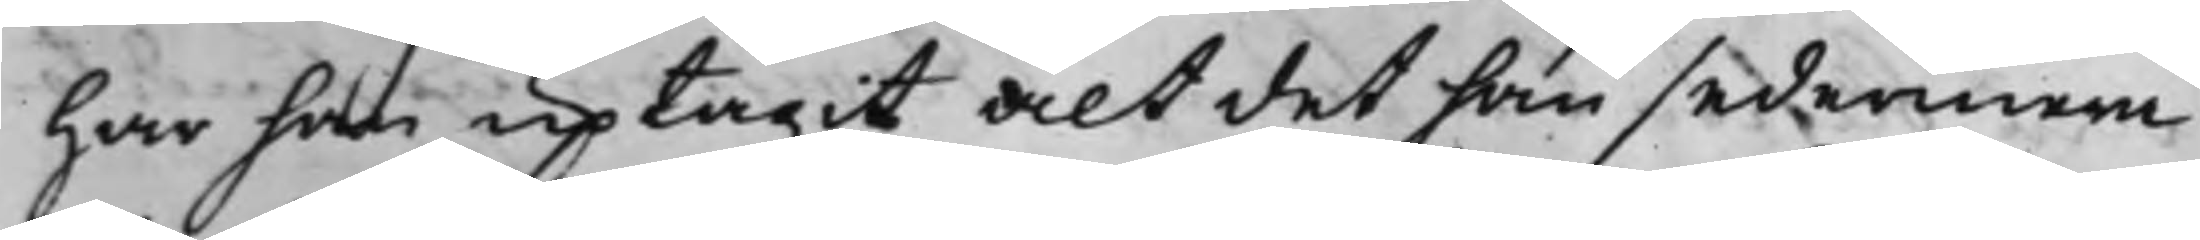har han uptagit alt det han sedermera
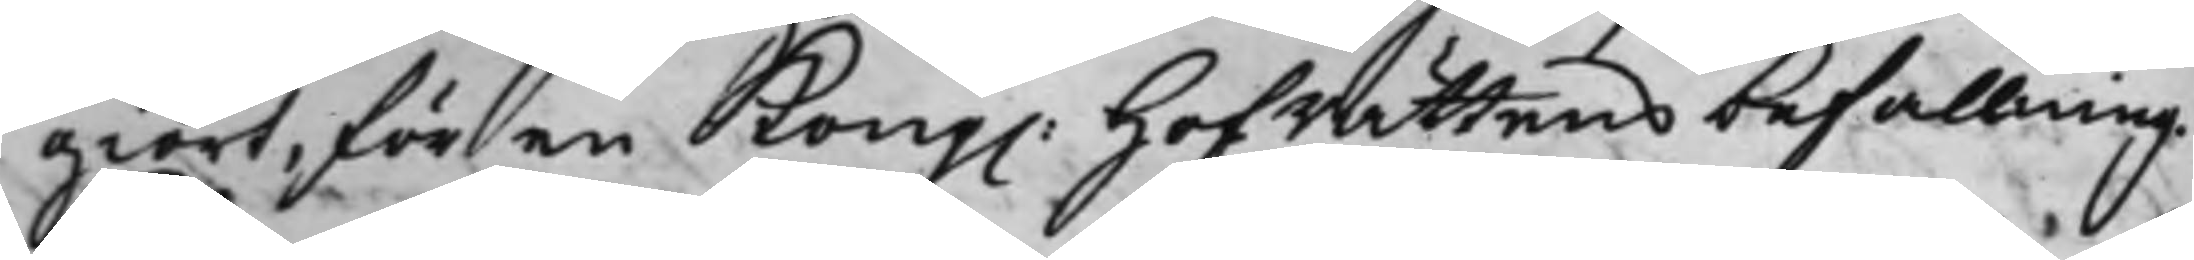giort, för en Kong. Hoffrättens befallning.
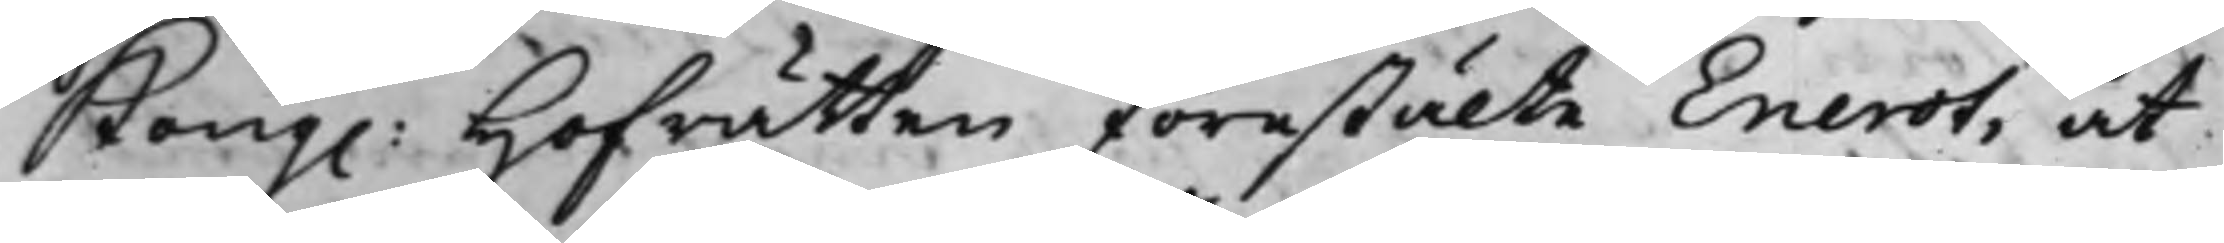Kong. Hoffrätten förestälte Enerot, at
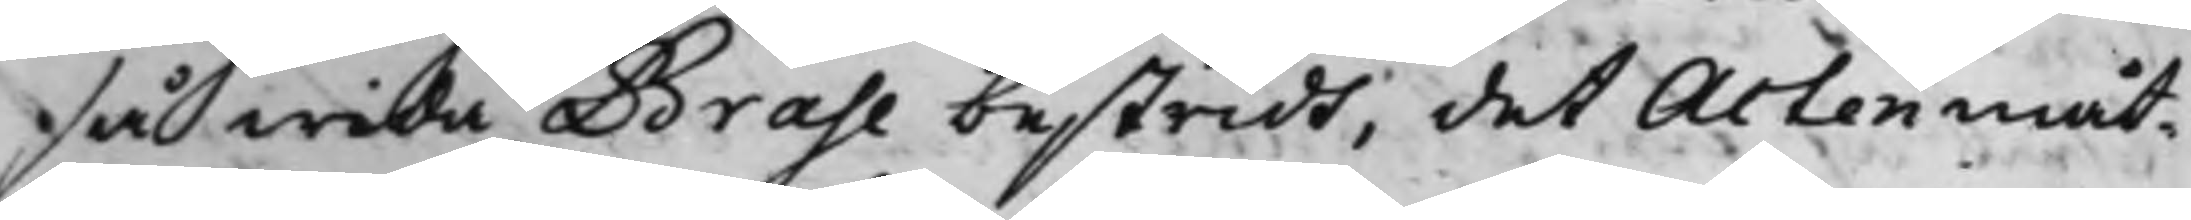så wida Brahe bestridt, det Acten måt¬
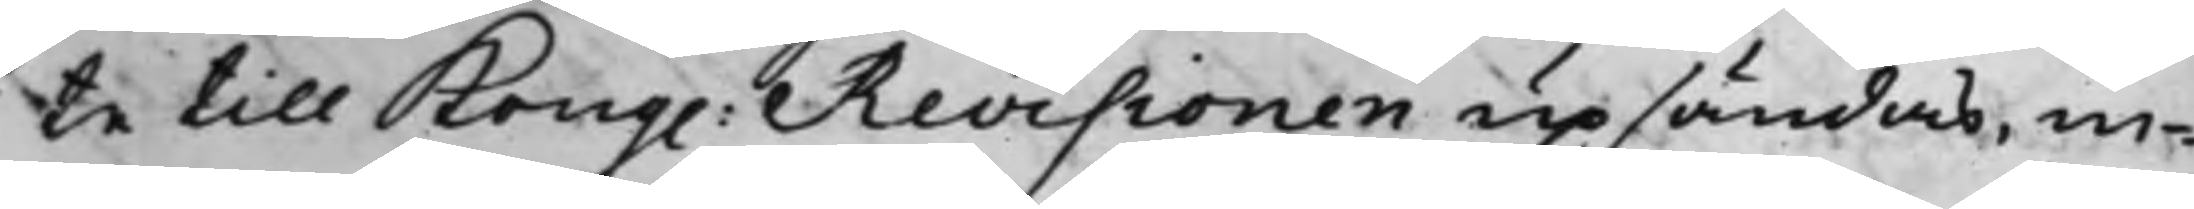te till Kong. Revisionen upsändas, in¬
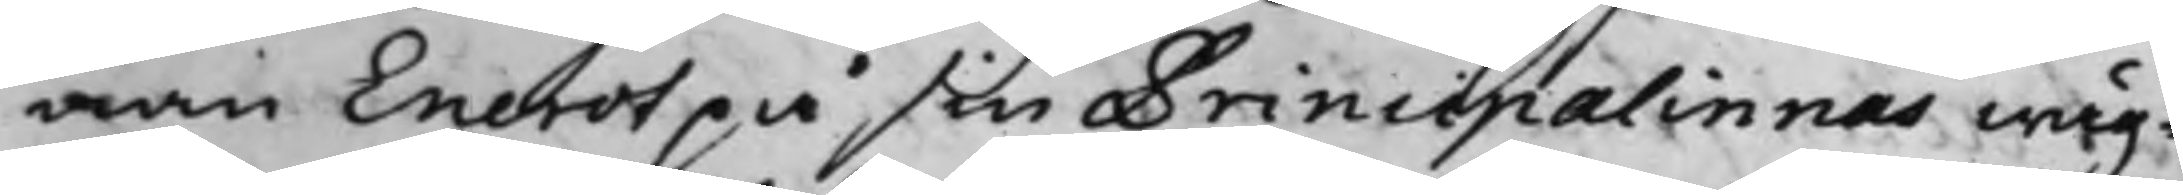nan Enerot på sin Principalinnas wäg¬
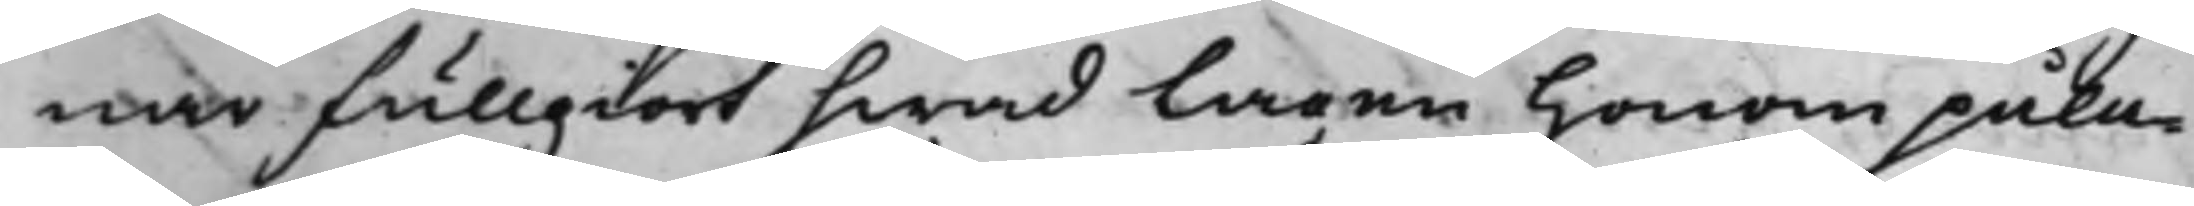nar fullgiort hwad lagen honom pålag¬
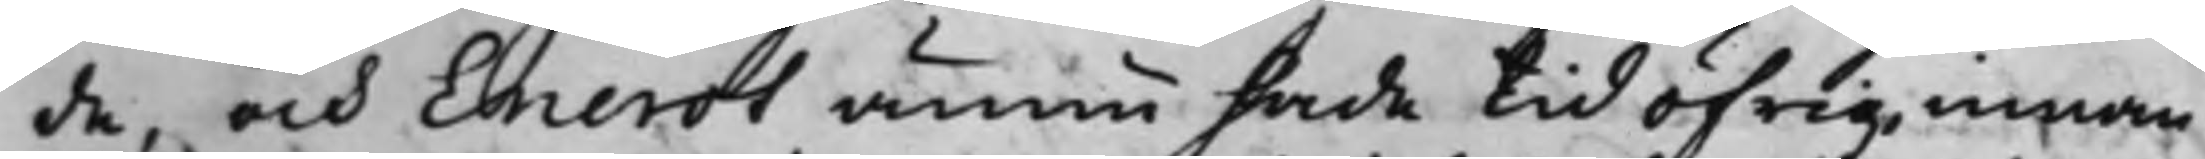de, och Enerot ännu hade tid öfrig innan
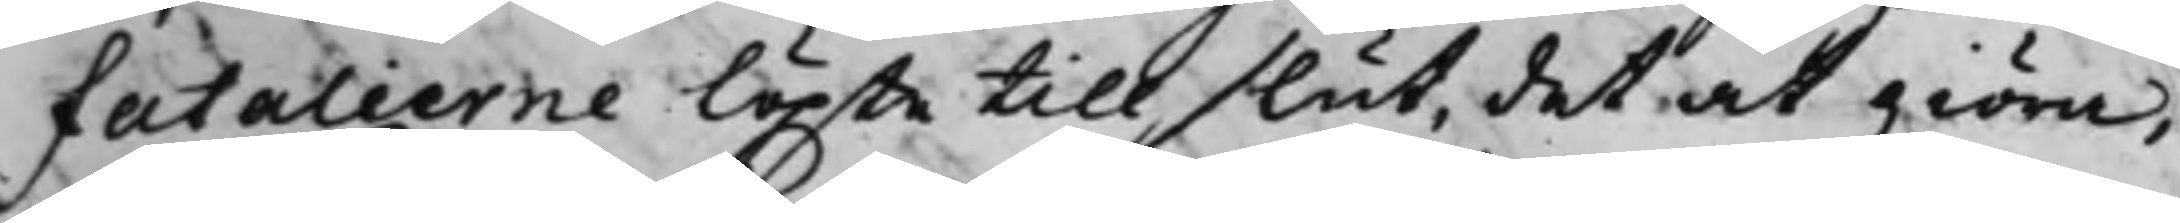fatalierne löpte till slut, det at giöra,
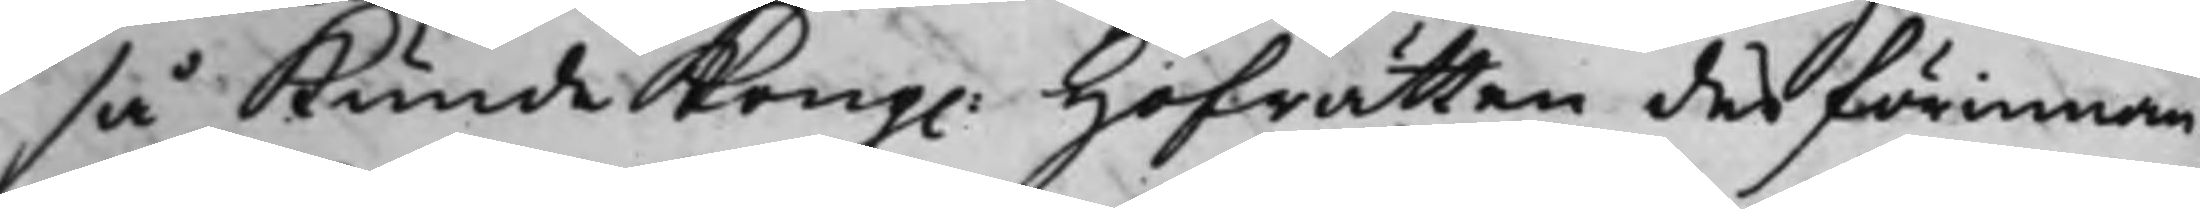så kunde Kong. Hoffrätten derförinnan
